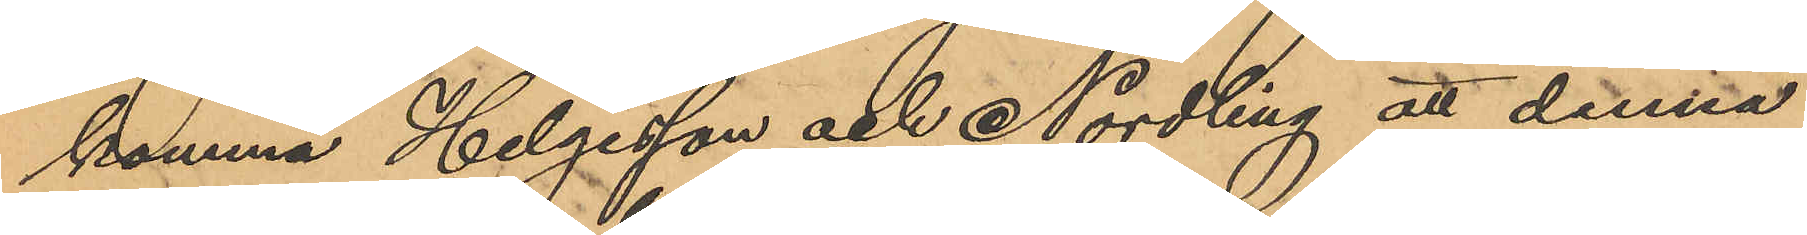komma Helgesson och Nordling att denna
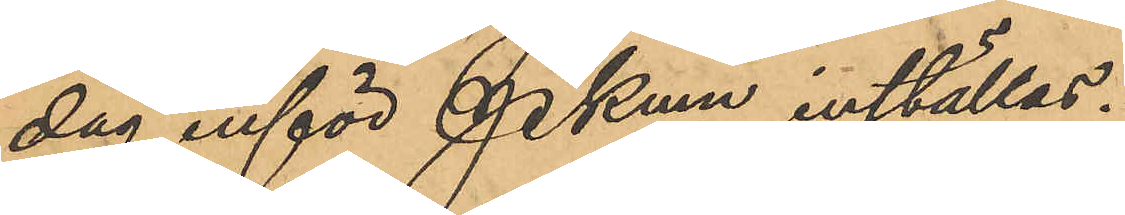dag inför Pkmn inställas.
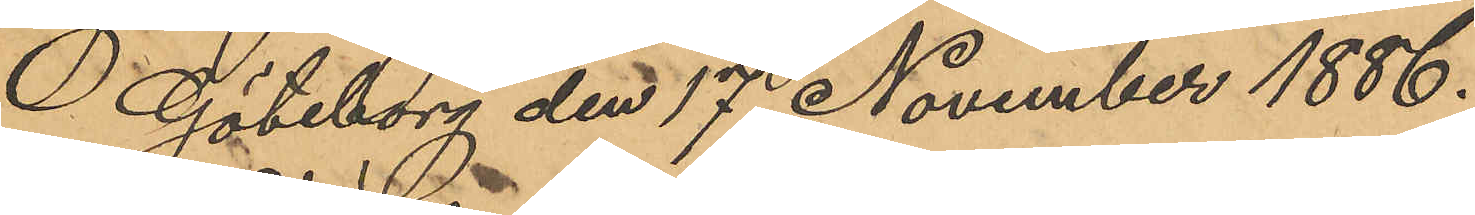 Göteborg den 17 November 1886.
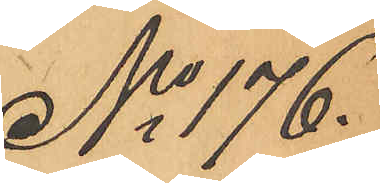No 176.
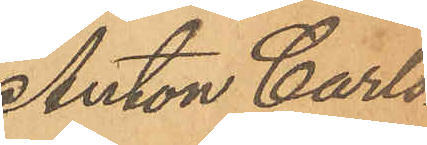Anton Carls¬
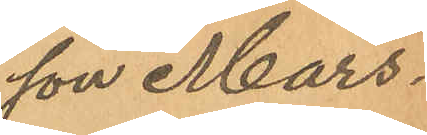son Mars.
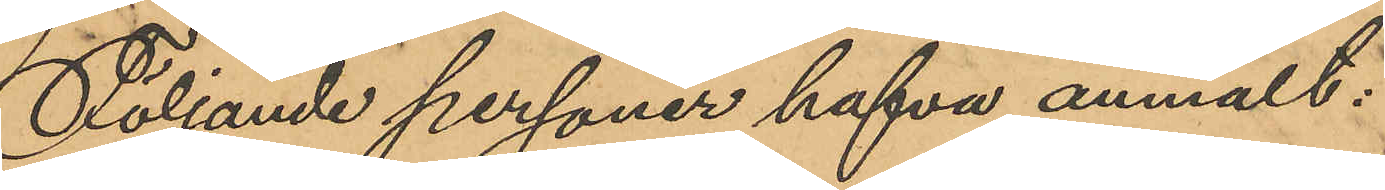Följande personer hafva anmält:
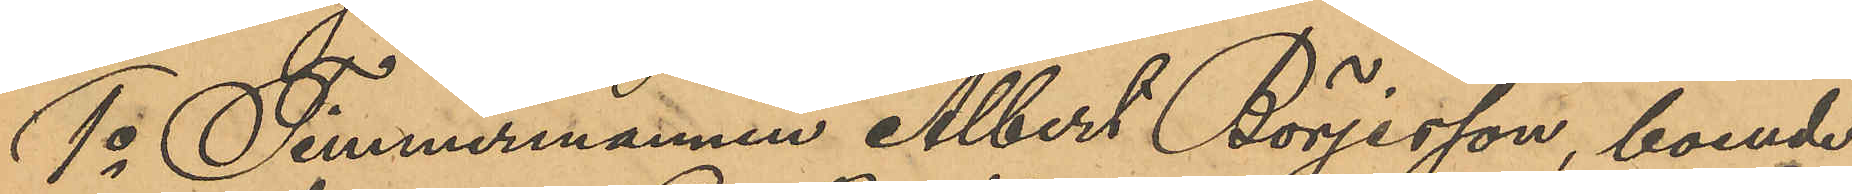1o Timmermannen Albert Börjesson, boende
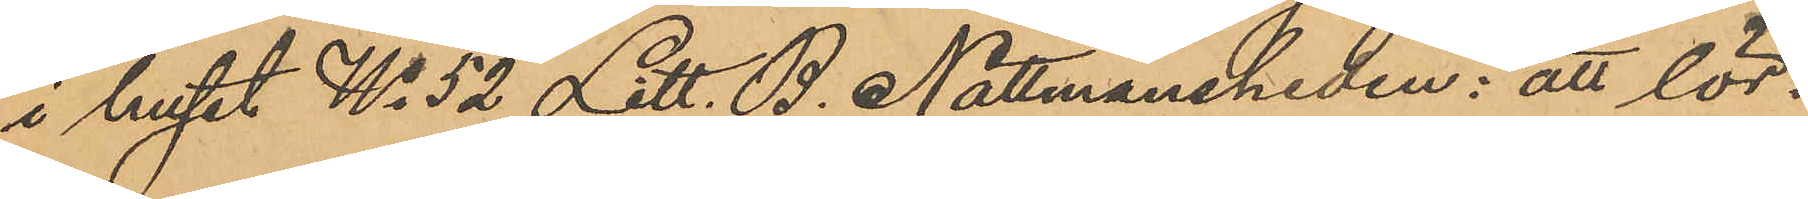i huset No 52 Litt. B. Nattmansheden: att lör¬
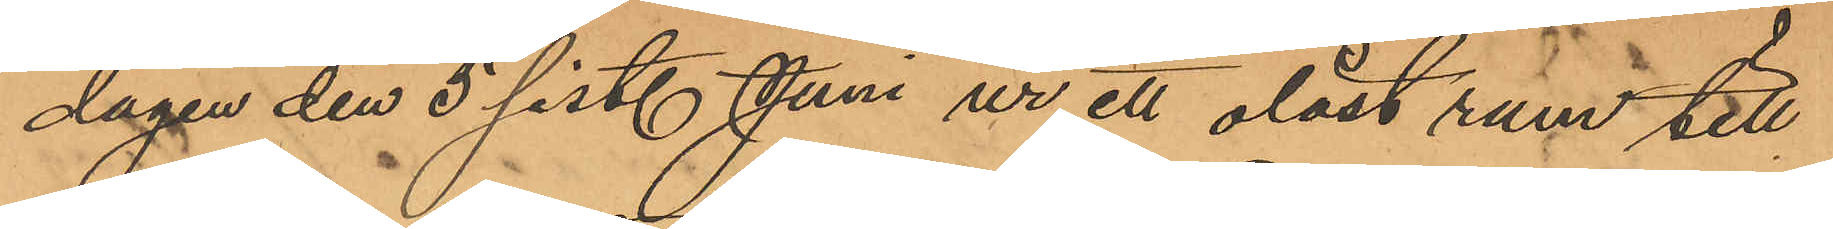dagen den 5 sist. Juni ur ett olåst rum till
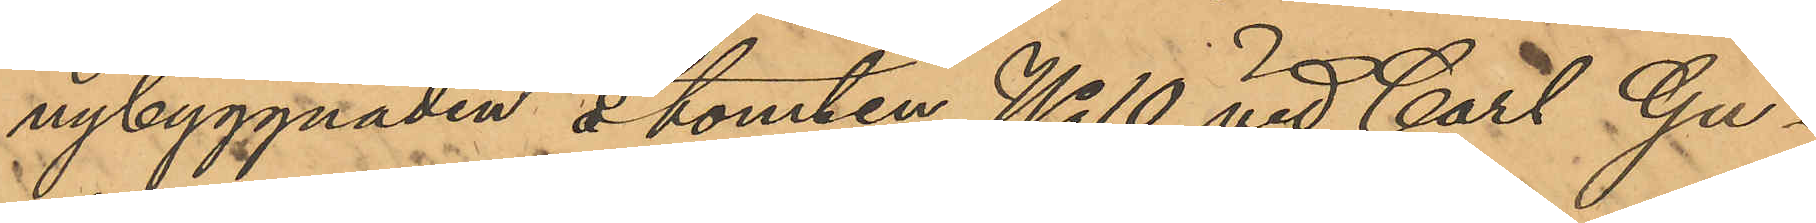nybyggnaden å tomten No 10 vid Carl Gu¬
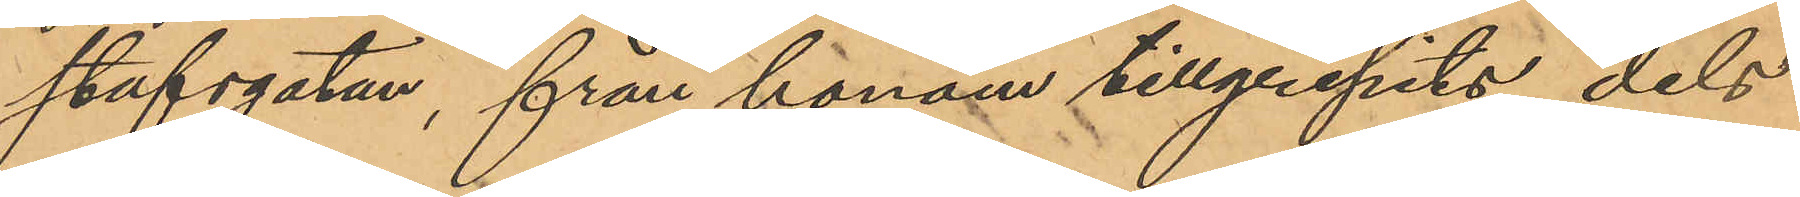stafsgatan, från honom tillgripits dels
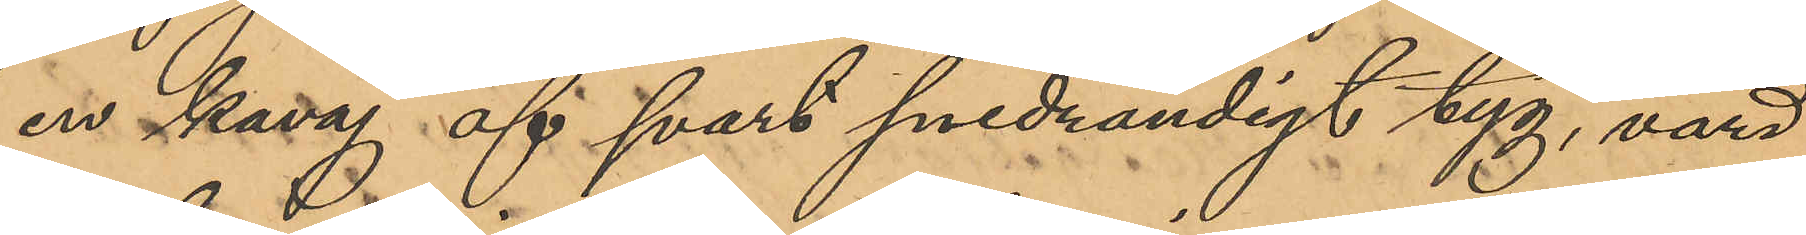en kavaj af svart snedrandigt tyg, värd
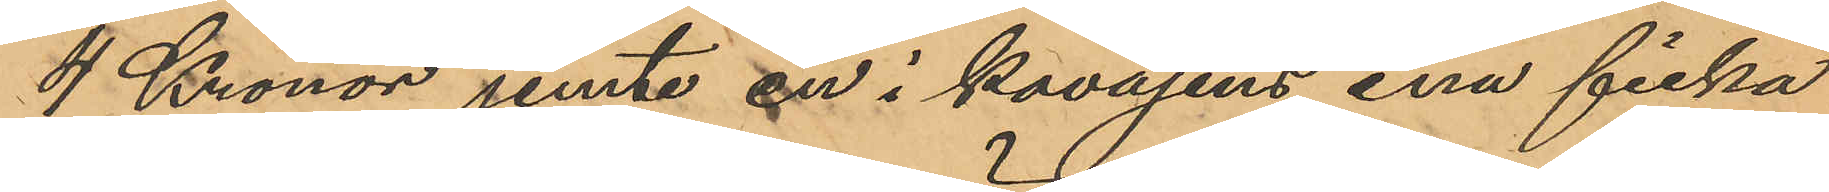4 Kronor jemte en i kavajens ena ficka
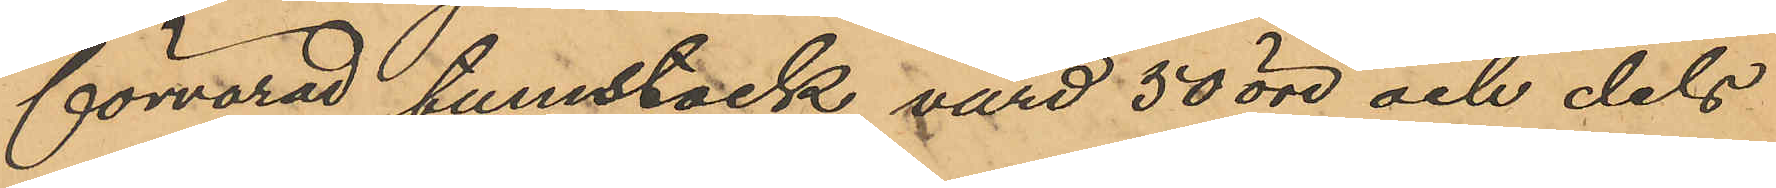förvarad tumstock, värd 50 öre och dels
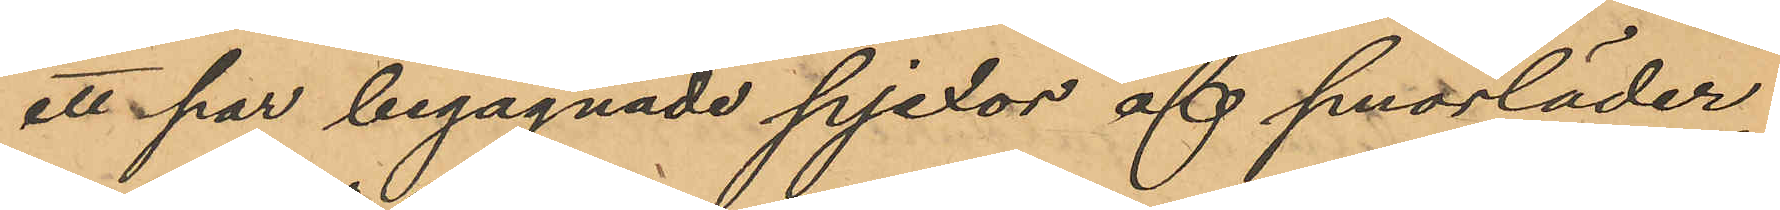ett par begagnade pjexor af smorläder
